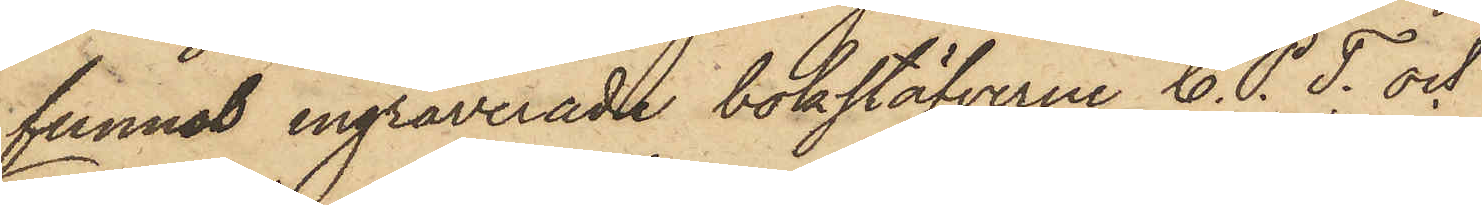funnos ingraverade bokstäfverne C. P. T; och
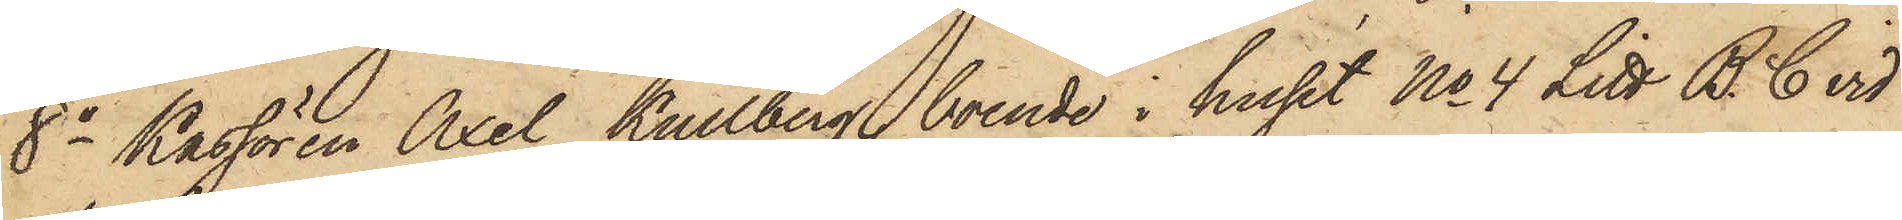8o Kassören Axel Kullberg, boende i huset No 4 Litt B. C vid
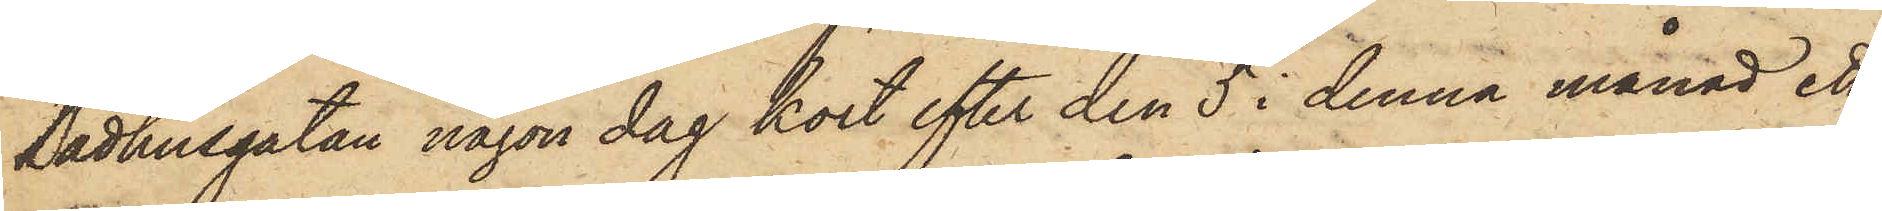Badhusgatan någon dag kort efter den 5 i denna månad ett
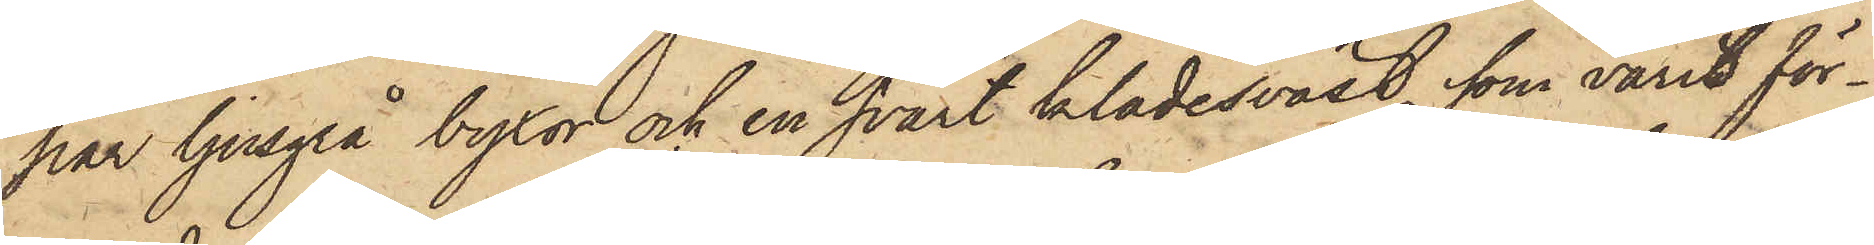par ljusgrå byxor och en svart klädesväst, som varit för¬
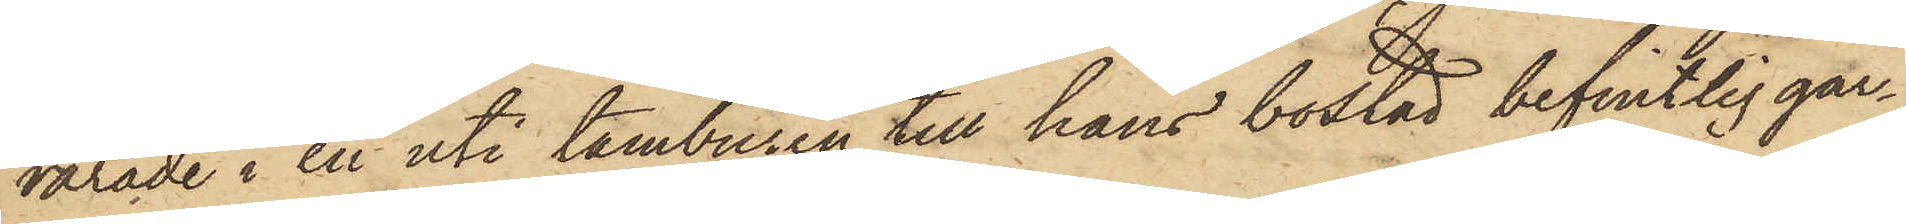varade i en uti tamburen till hans bostad befintlig gar¬
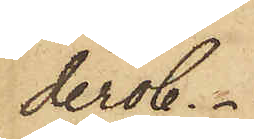derob.
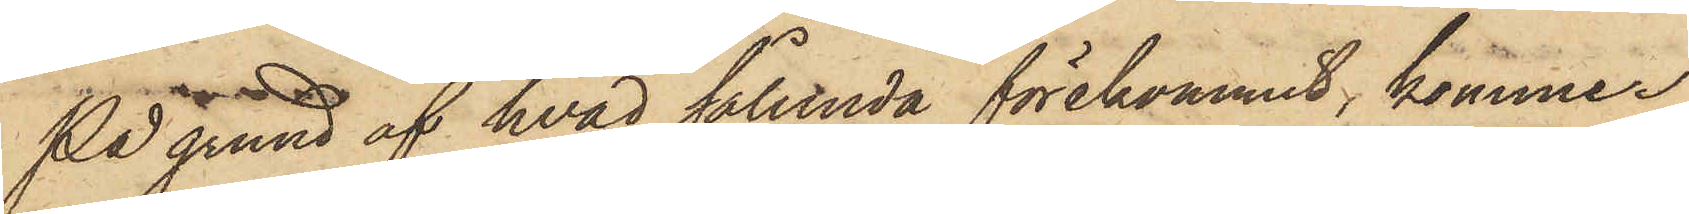På grund af hvad sålunda förekommit, kommer
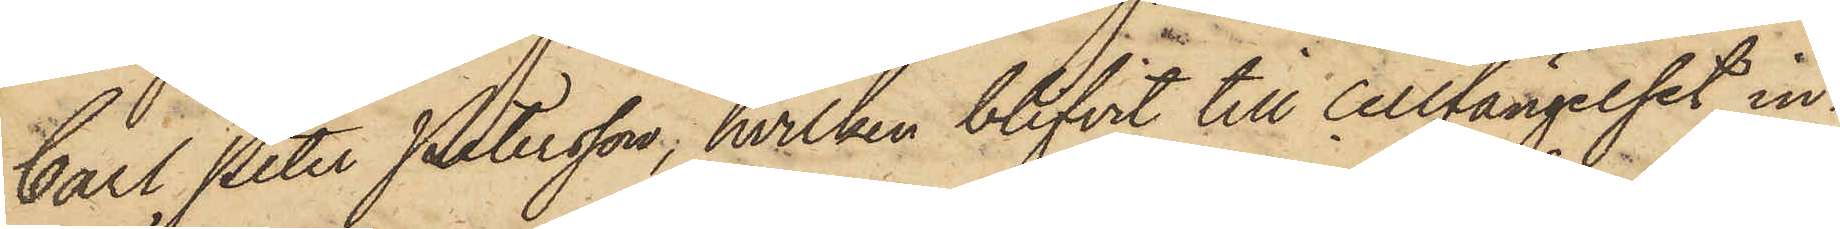Carl Peter Petersson, hvilken blifvit till Cellfängelset in¬
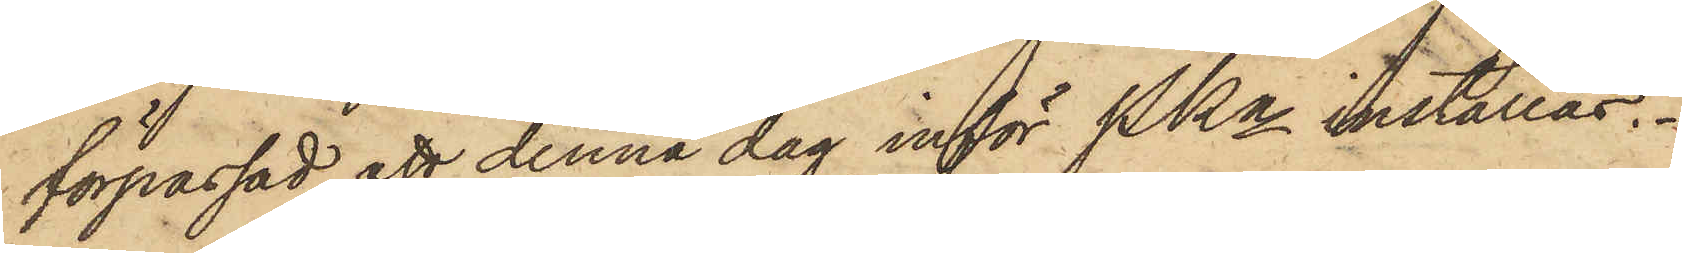förpassad, att denna dag inför PKn inställas.
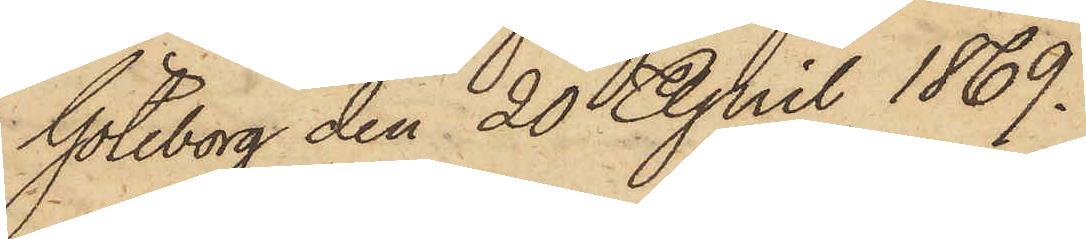Göteborg den 20 April 1869.
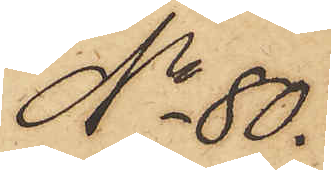No 80.
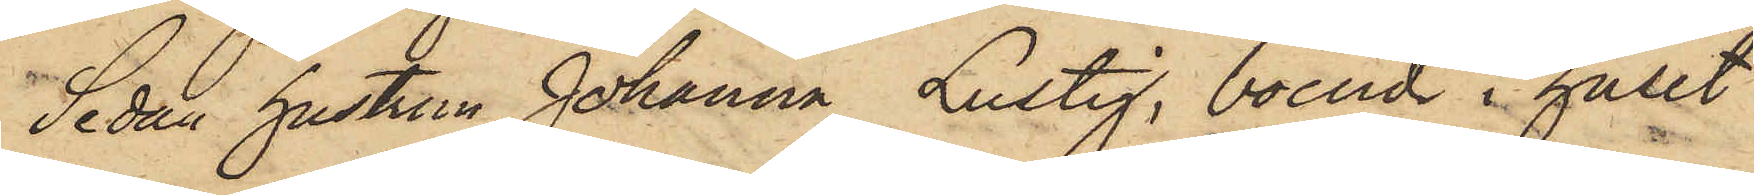Sedan hustrun Johanna Lustig, boende i huset
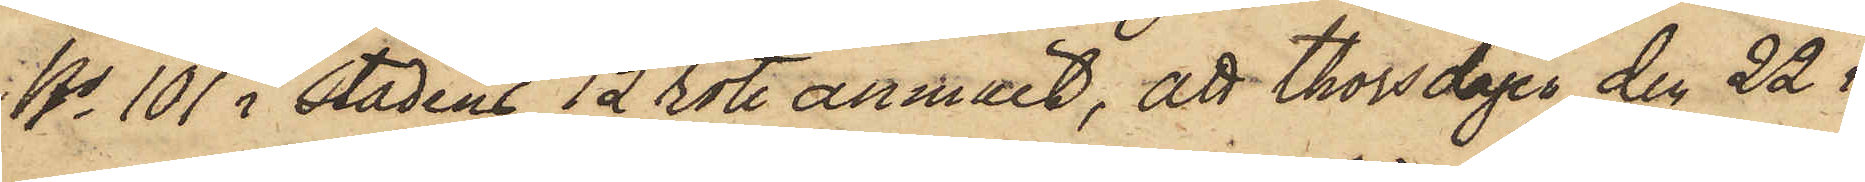No 101 i stadens 12 rote anmält, att thorsdagen den 22 i
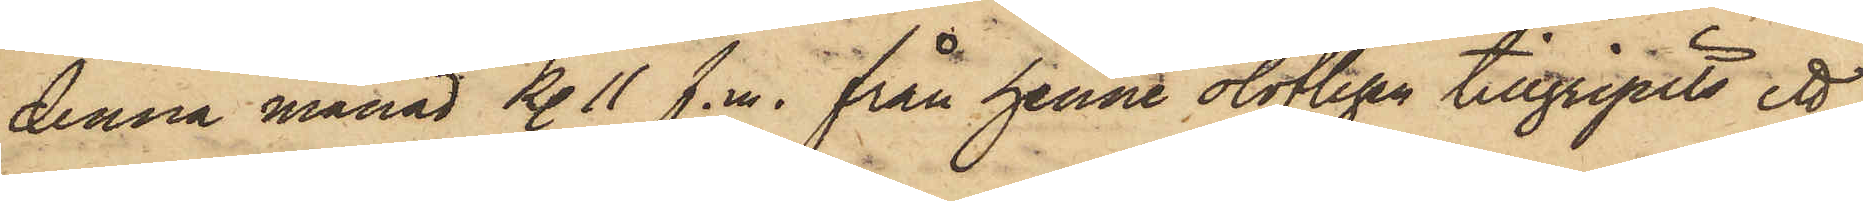denna månad Kl. 11 f.m. från henne olovligen tillgripits ett
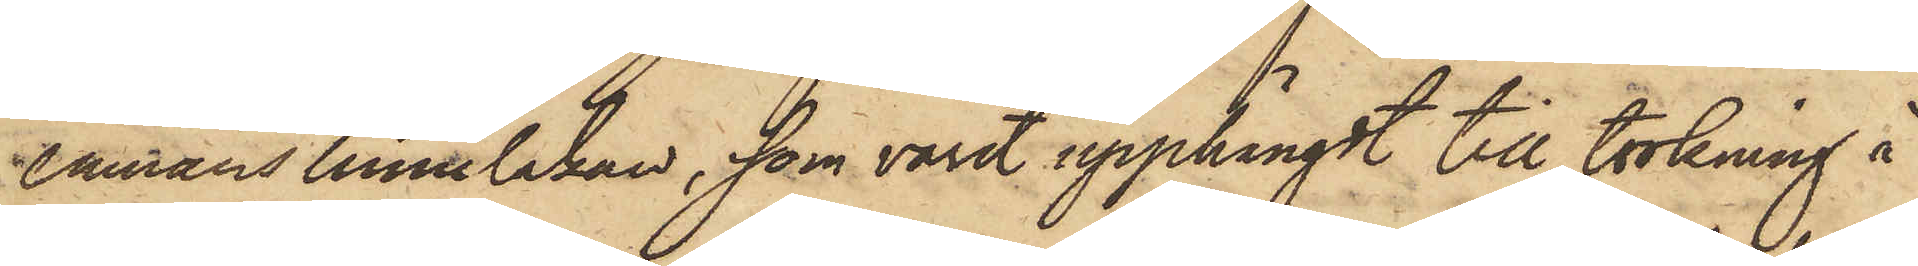enmans linnelakan, som varit upphängdt till torkning å
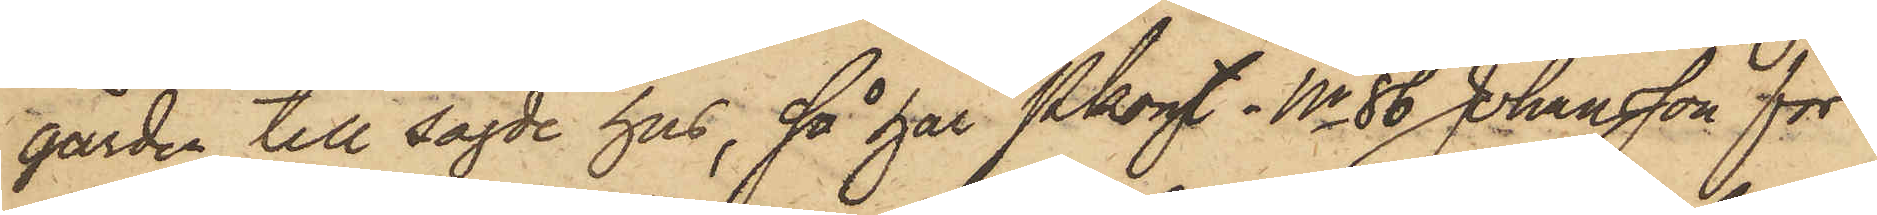gården till sagde hus, så har Pkonst No 86 Johansson för
